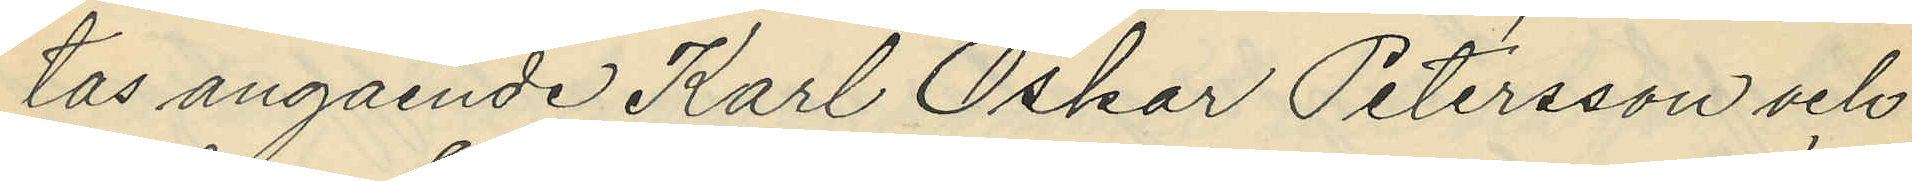tas angående Karl Oskar Petersson och
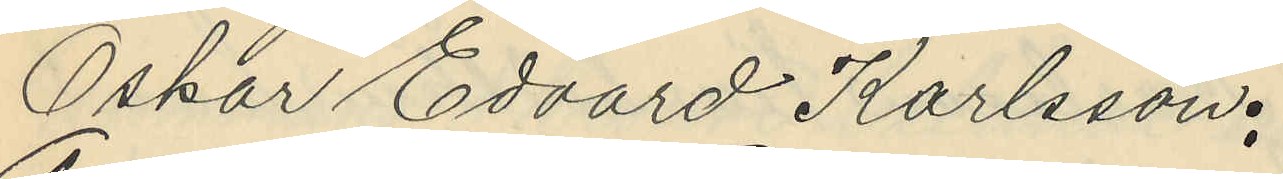Oskar Edvard Karlsson:
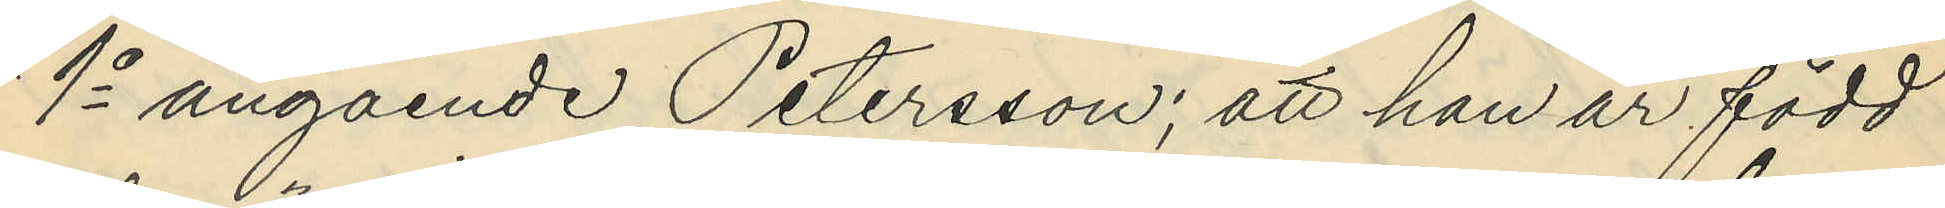1o angående Petersson; att han är född
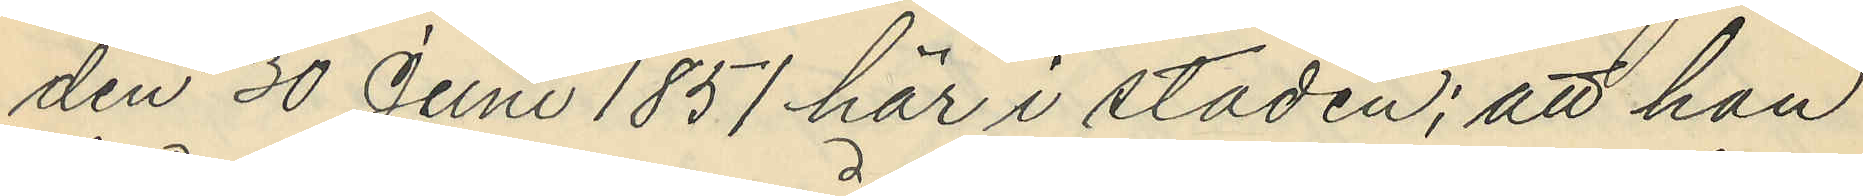den 30 Juni 1851 här i staden; att han
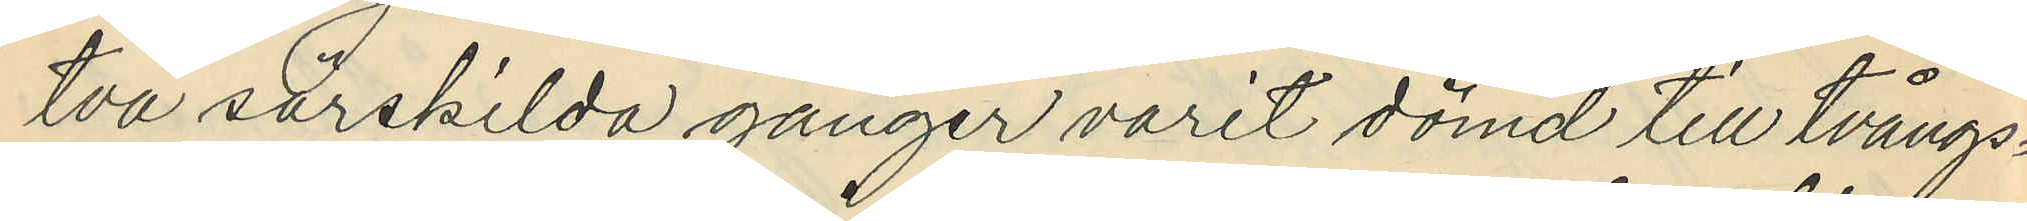två särskilda gånger varit dömd till tvångs¬
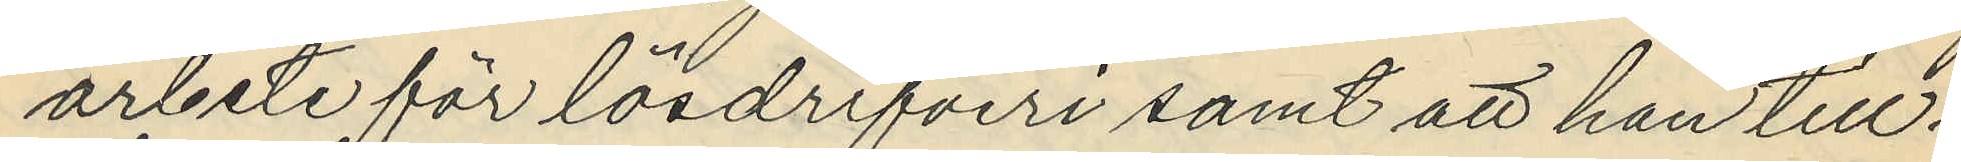arbete för lösdrifveri samt att han till¬
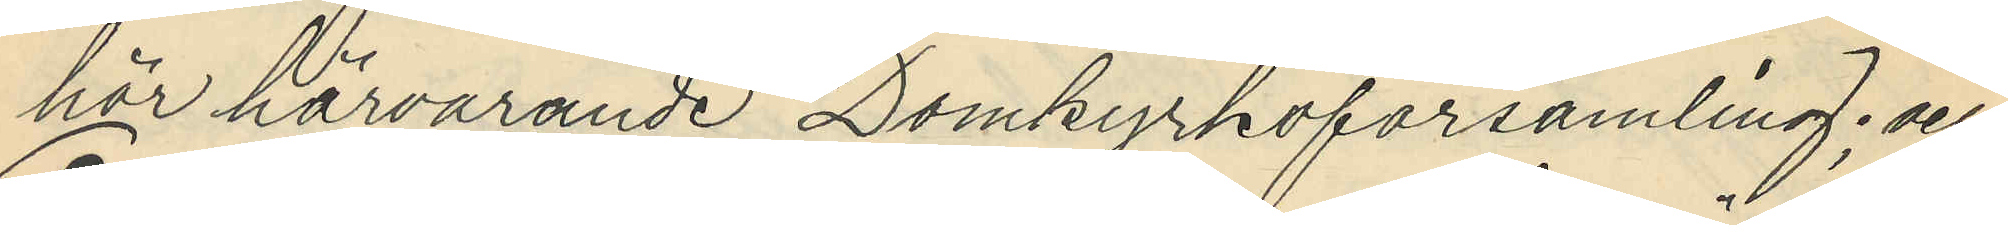hör härvarande Domkyrkoförsamling; och
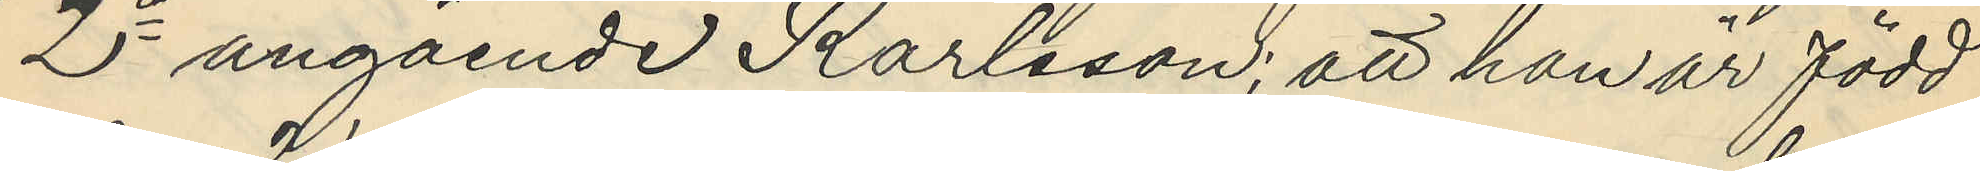2o angående Karlsson; att han är född
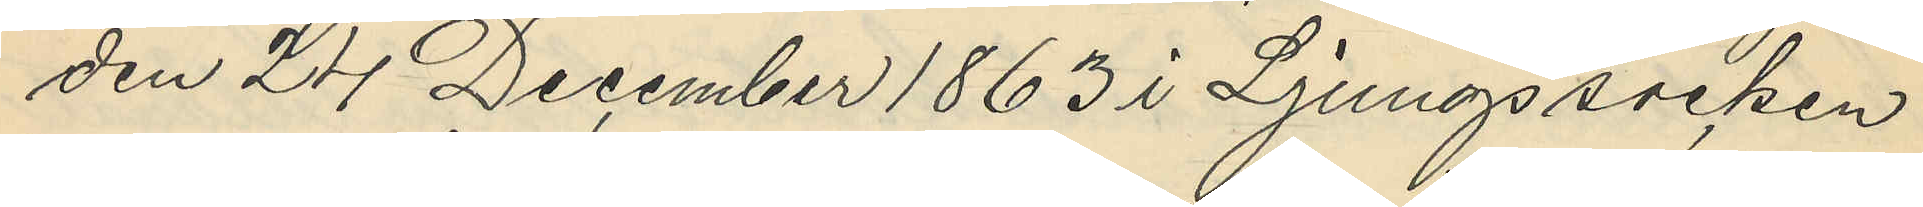den 24 December 1863 i Ljungs socken
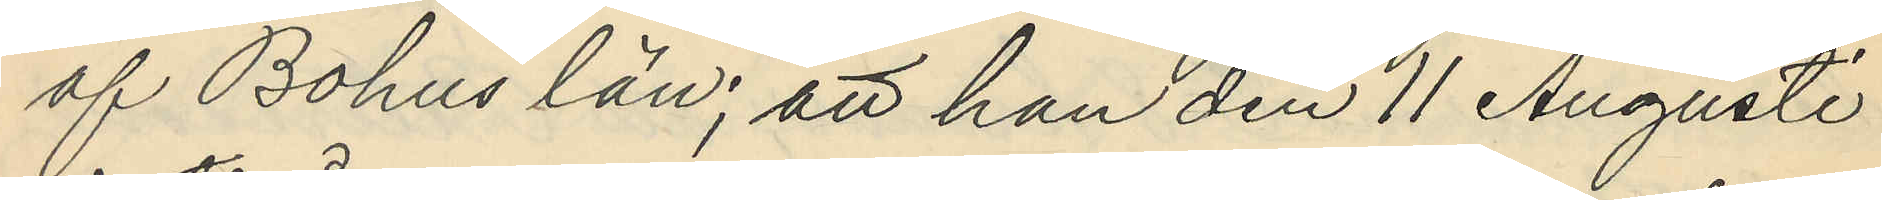af Bohus län; att han den 11 Augusti
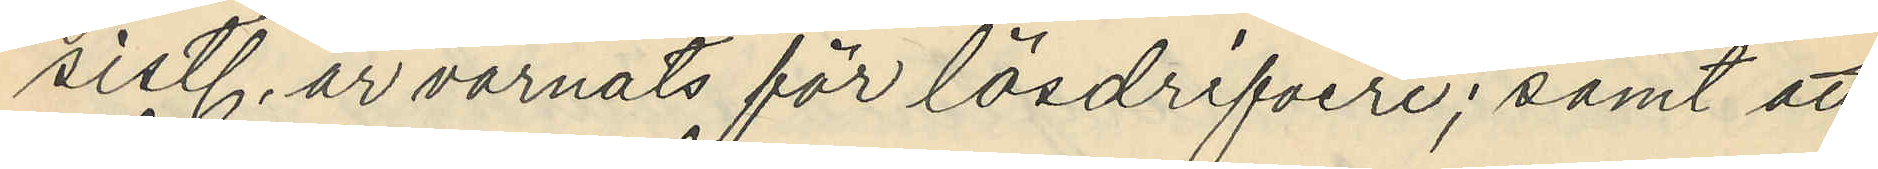sistl. år varnats för lösdrifveri; samt att
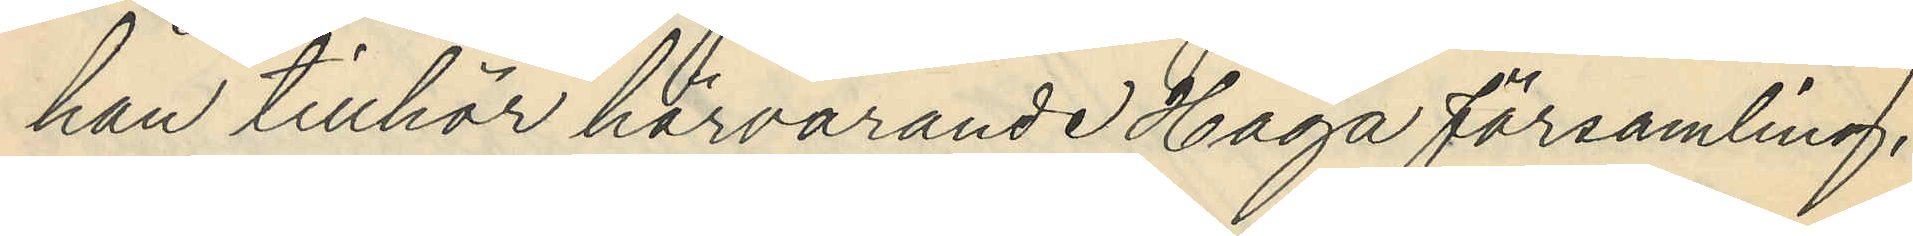han tillhör härvarande Haga församling.
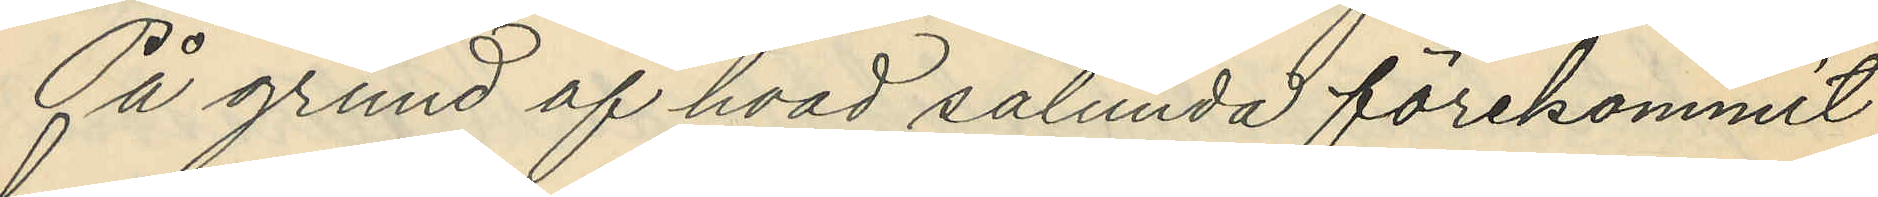På grund af hvad sålunda förekommit
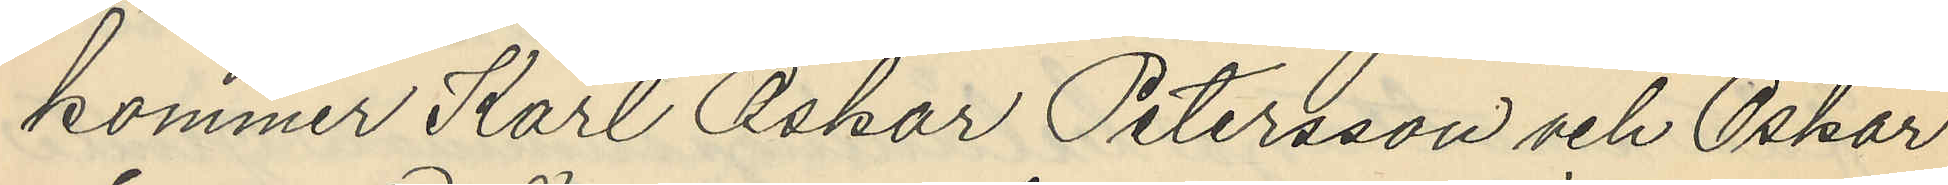kommer Karl Oskar Petersson och Oskar
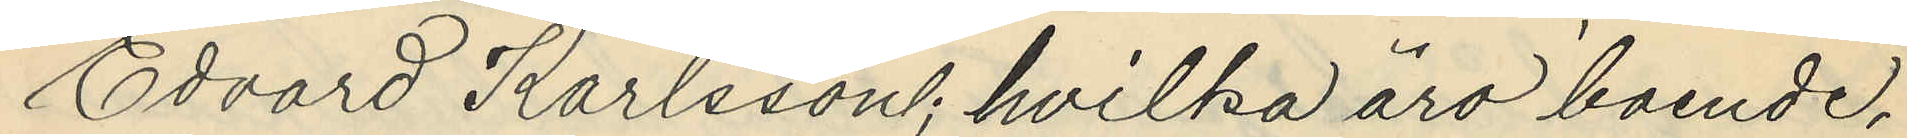Edvard Karlsson; hvilka äro boende,
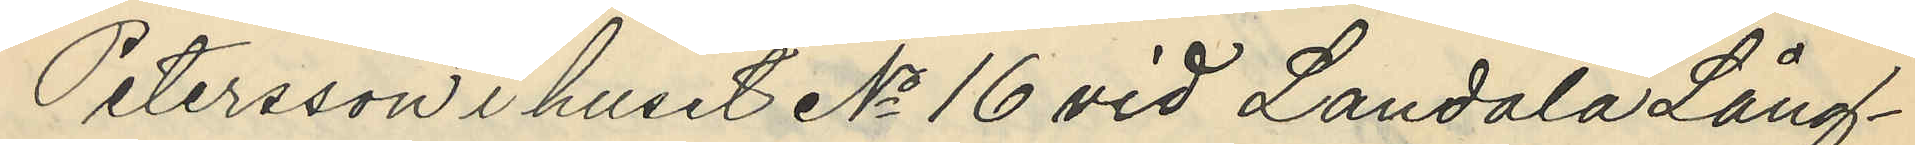Petersson i huset No 16 vid Landala Lång¬
